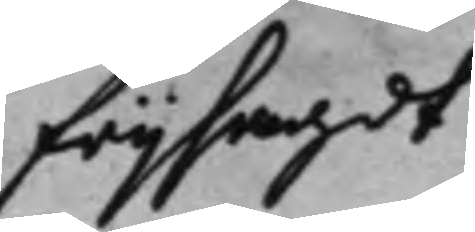frijsagdt
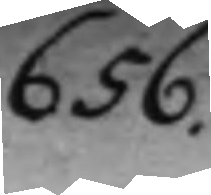656.
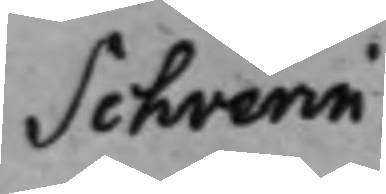Schverin.
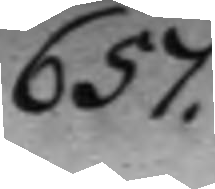657.
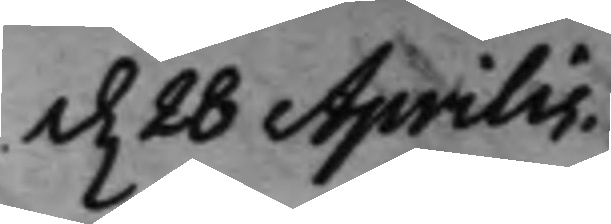d. 28 Aprilis.
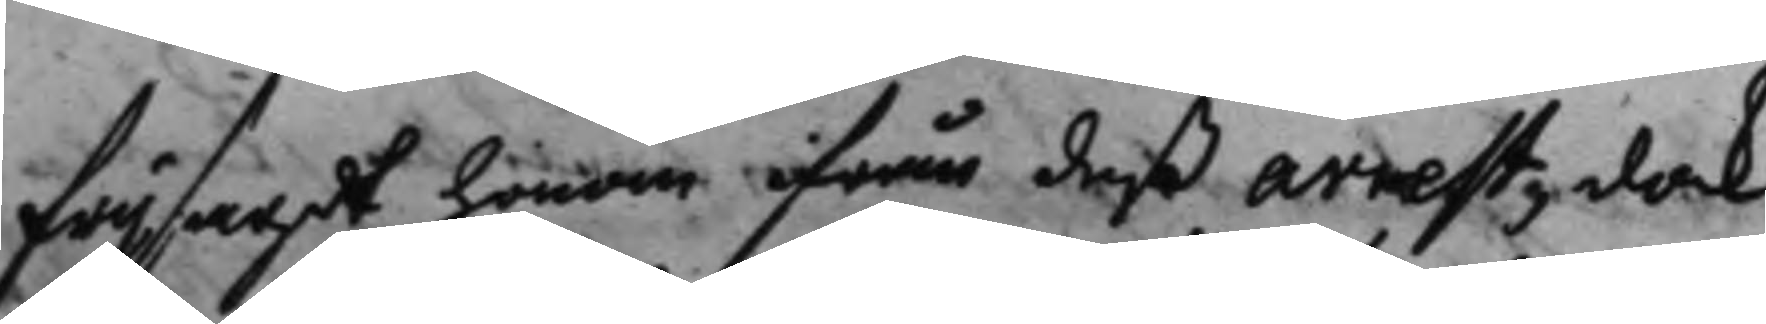frijsagdt honom ifrån deß arrest, dock
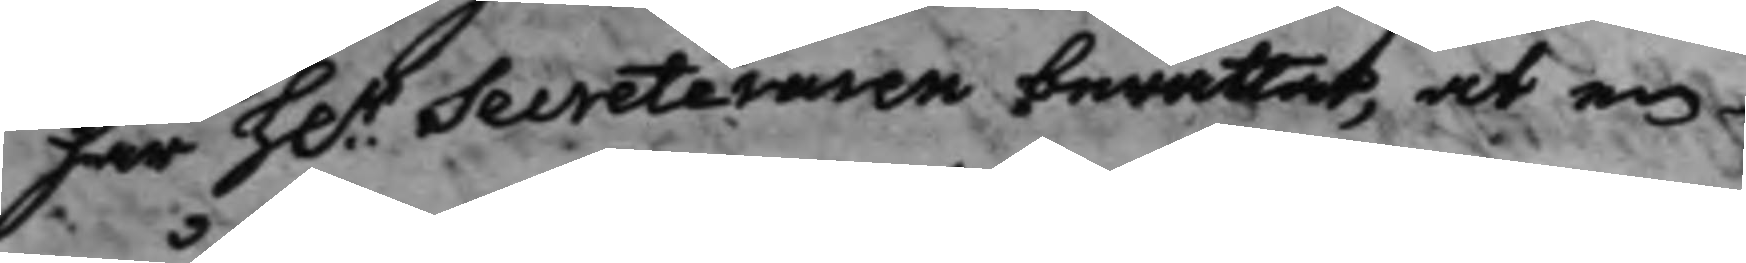har H.r Secreteraren berättat, at en
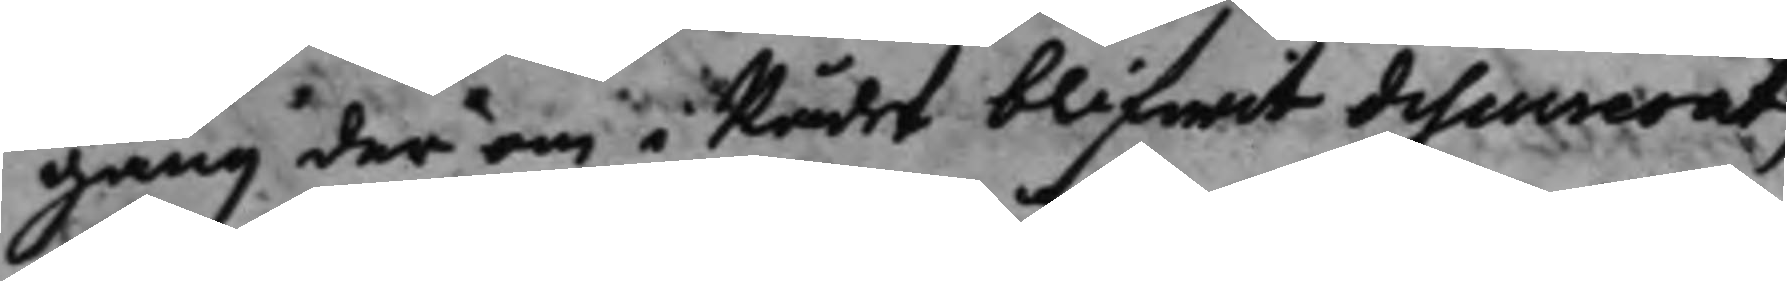gång der om i Rådet blifwit discuserat,
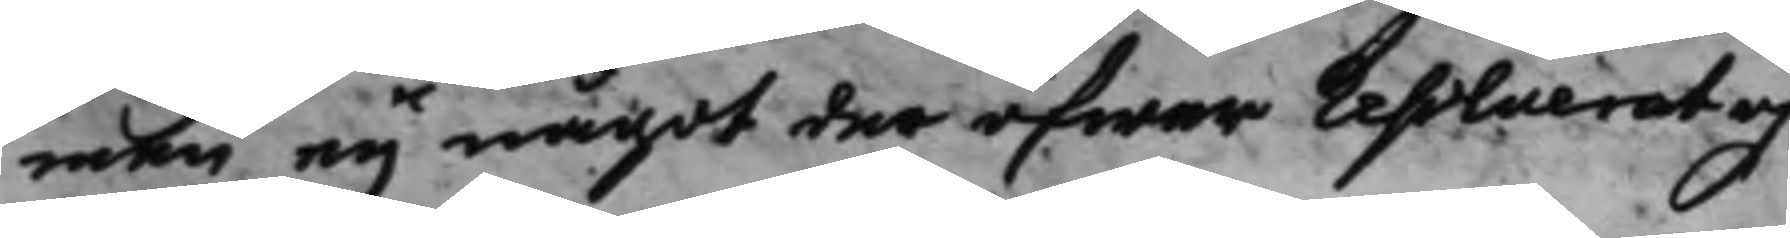men eij något der öfwer resolverat och
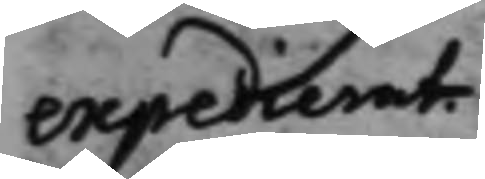expedierat.
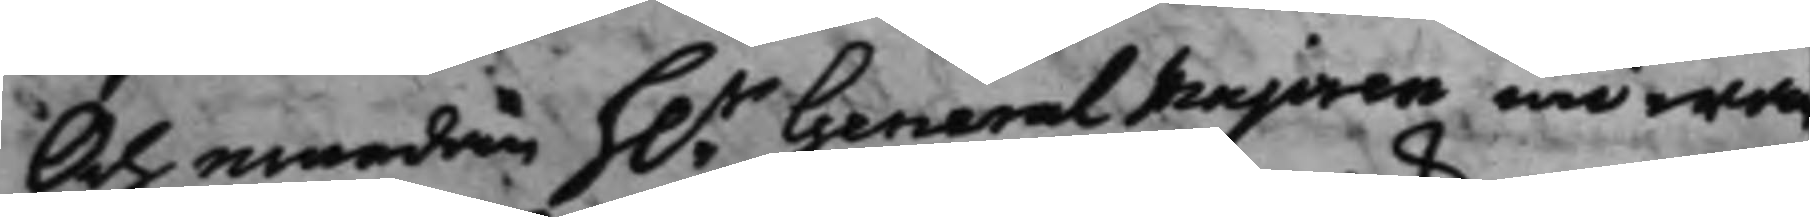Och emedan h.r General Majoren nu war
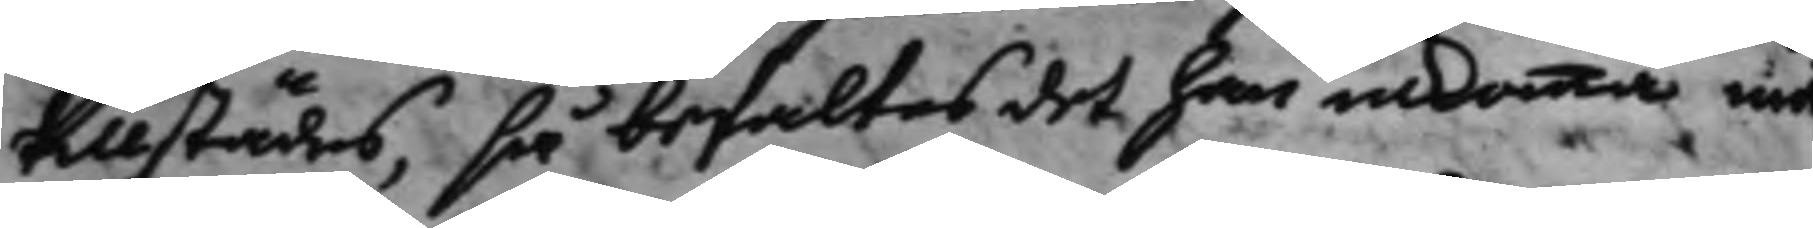tillstädes, så befaltes det han inkomma ned
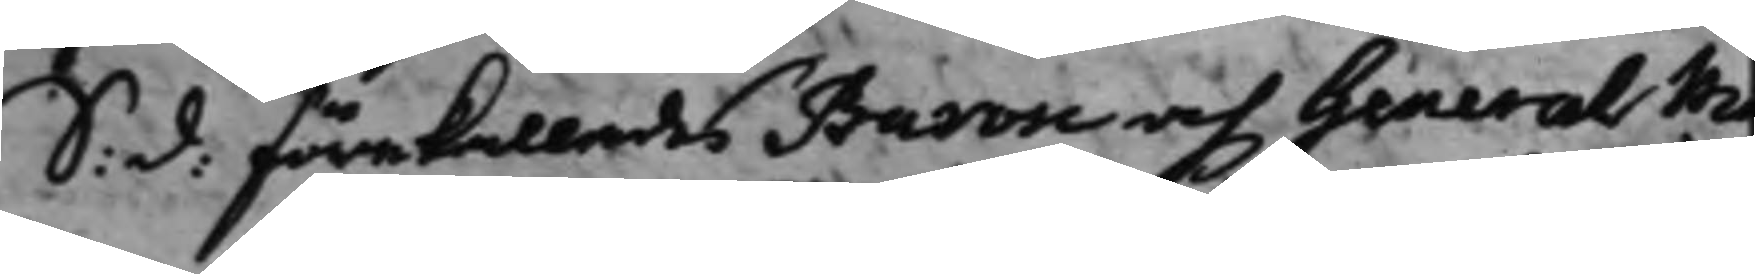S: d: förekallades Baron och General Ma¬
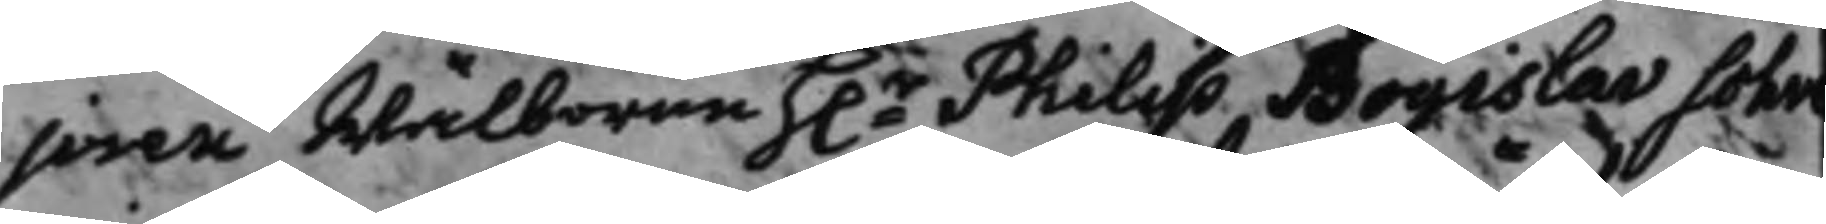joren Wälborne h.r Philip Bogislav Schve¬
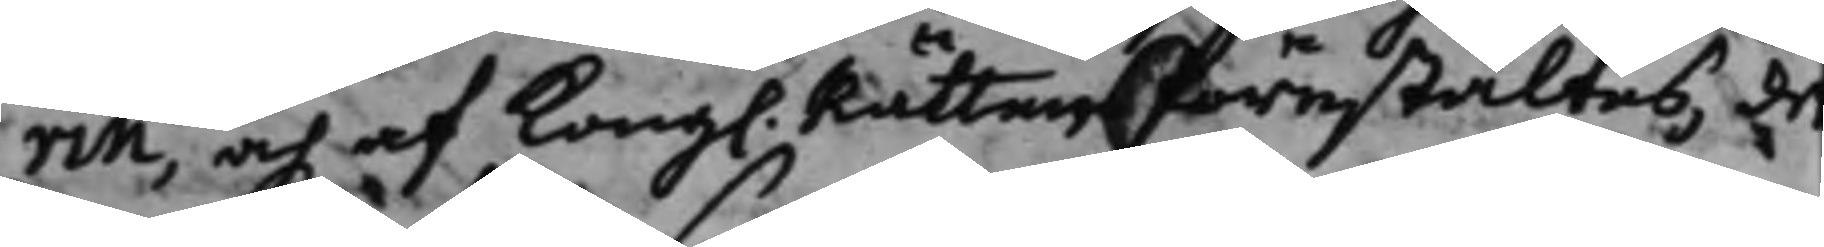rin, och af Kong. Rätten förestältes, de
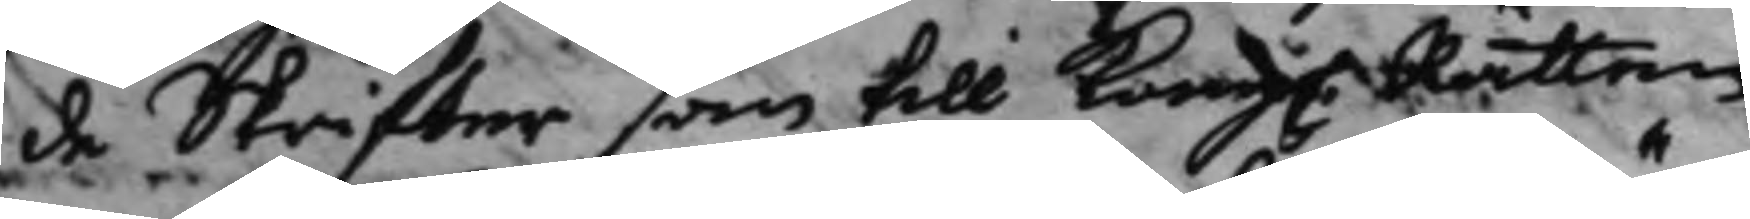de Skriffter som till Kong. Rätten
